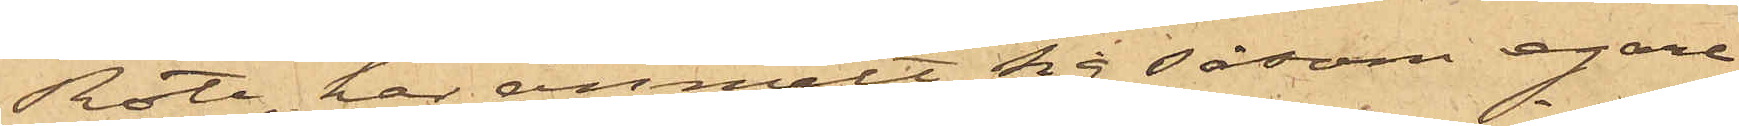Rote, har anmält sig såsom egare
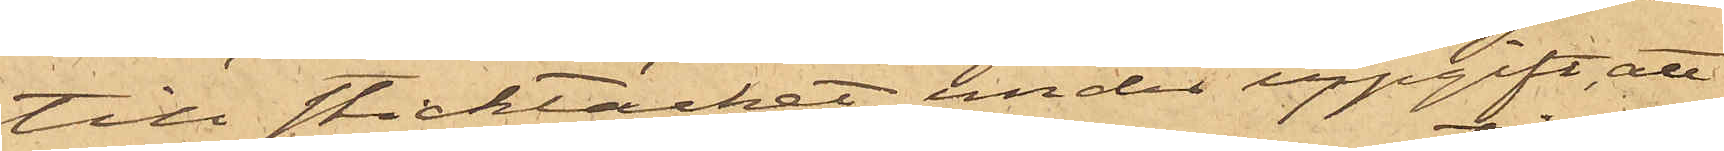till sticktäcket, under uppgift, att
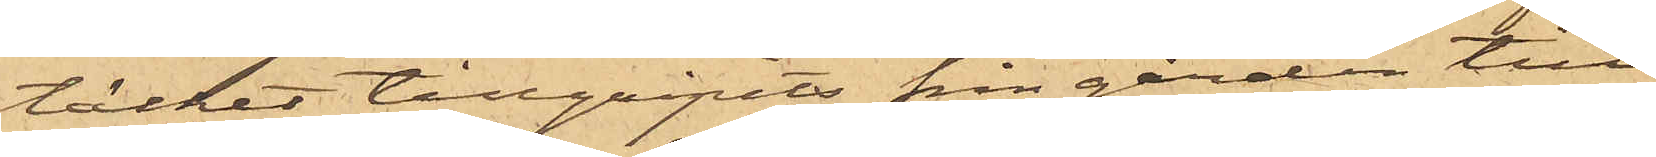täcket tillgripits från gården till
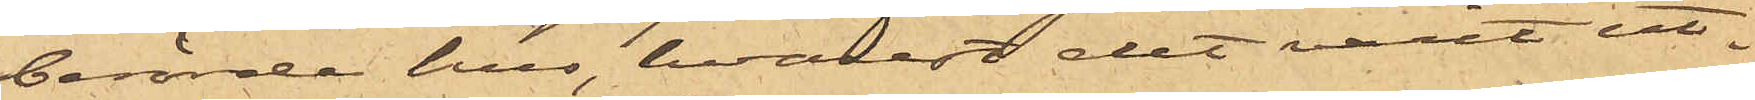berörde hus, hvarest det varit ut¬
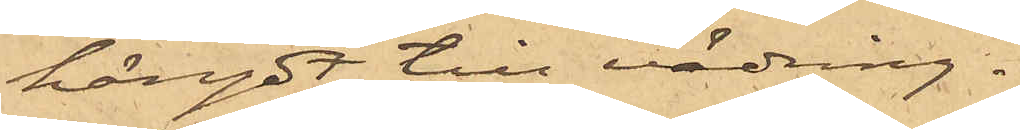hängdt till vädring.
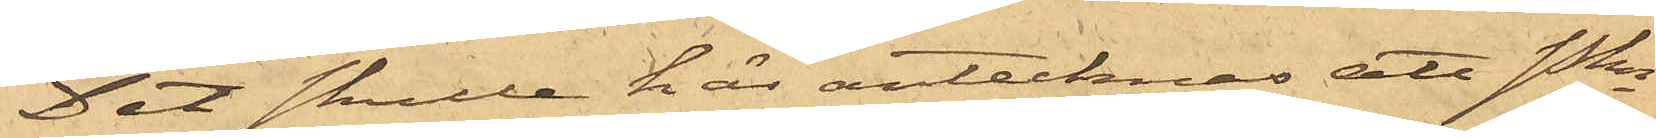Det skulle här antecknas att Pkn
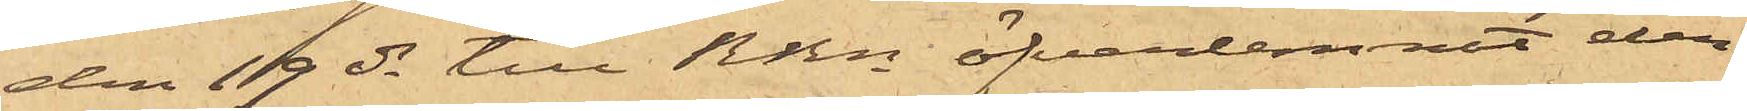den 19 ds till RRn öfverlemnat den
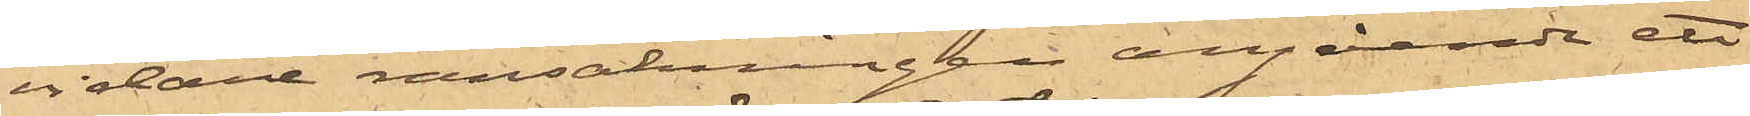vidare ransakningen angående ett
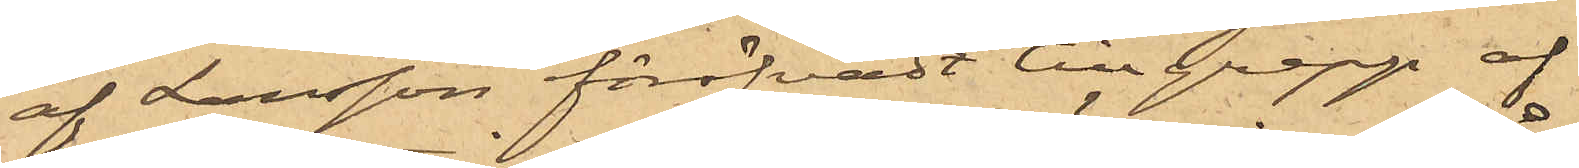af Larsson föröfvadt tillgrepp af
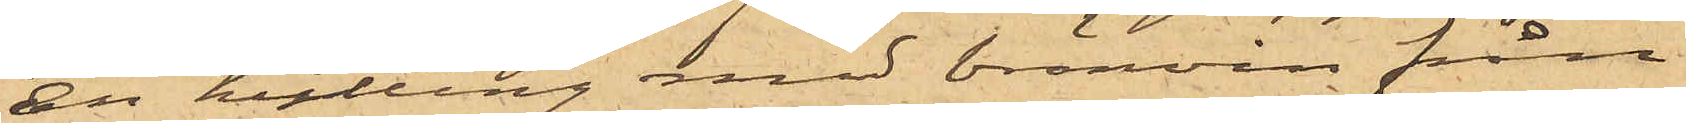en kutting med bränvin från
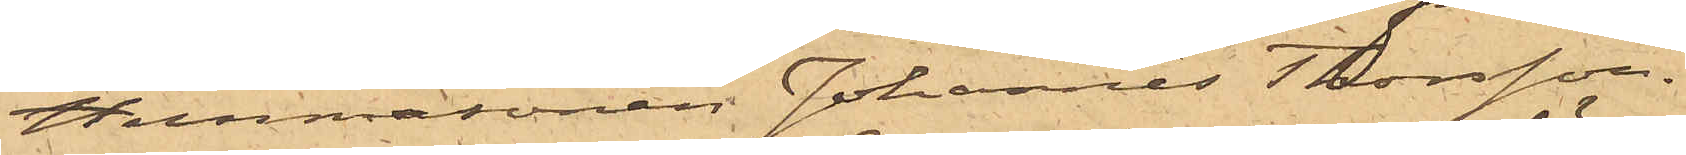Hemmasonen Johannes Thorsson.
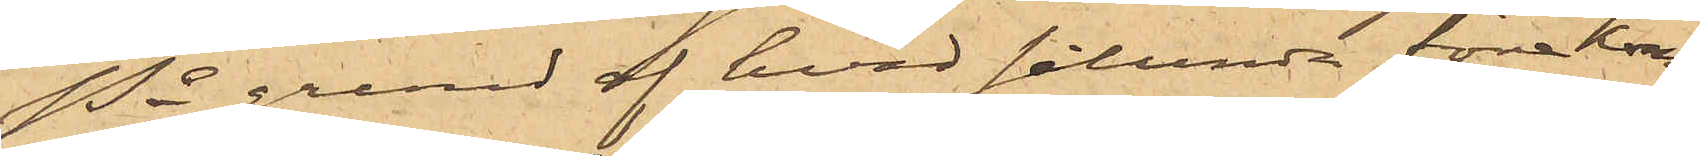På grund af hvad sålunda förekom¬
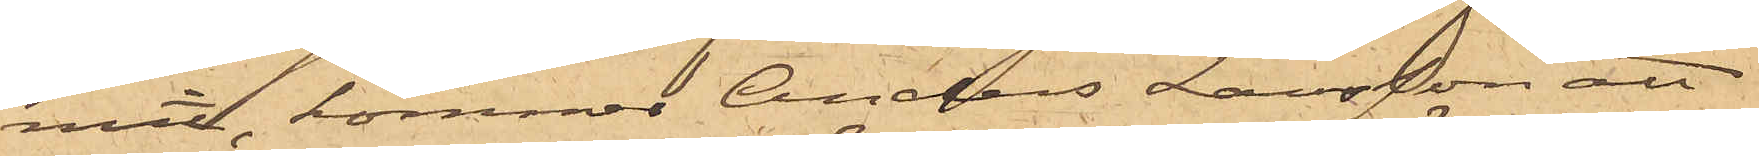mit, kommer Anders Larsson att
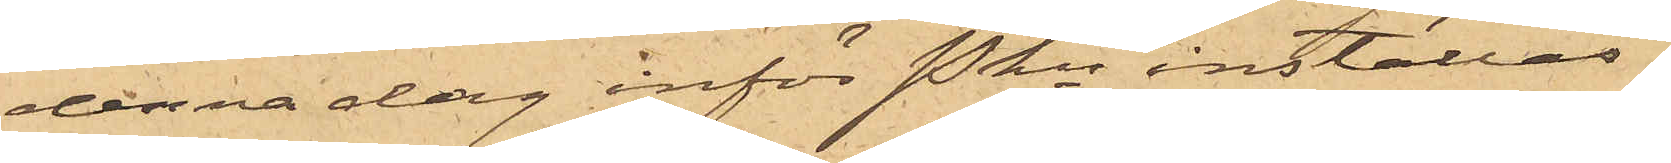denna dag inför Pkn inställas.
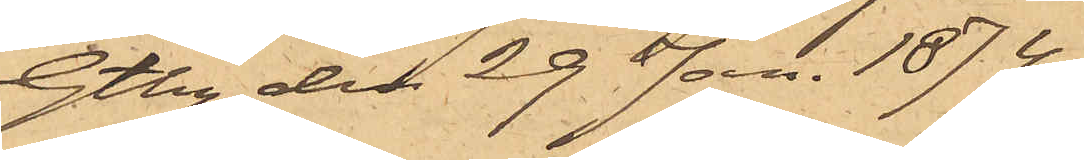Gtbg den 29 Jan. 1874.
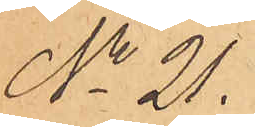No 21.
